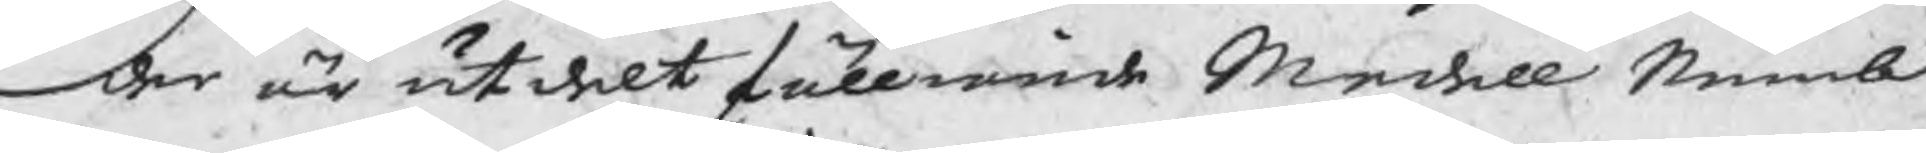der är utdelt fölliande Medell Nemb
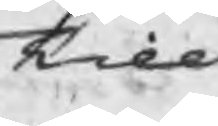Till
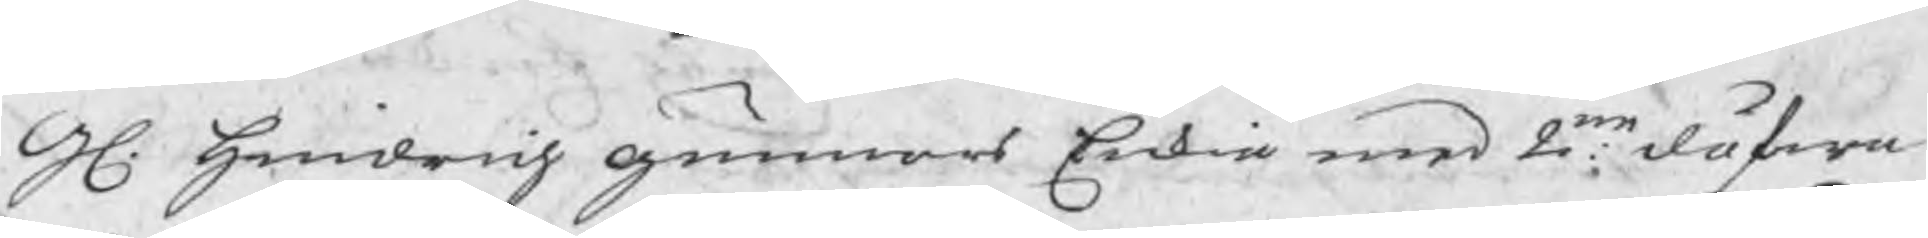Gl. Hindrich gunnars Enkia med 2ne döfwa
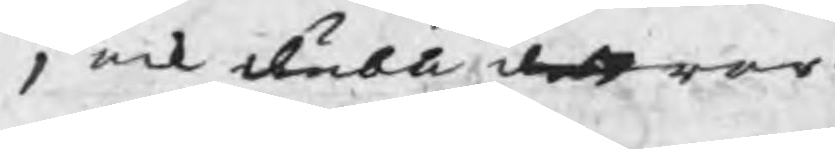1 ock dubb dottrar
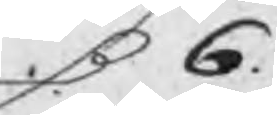R 6
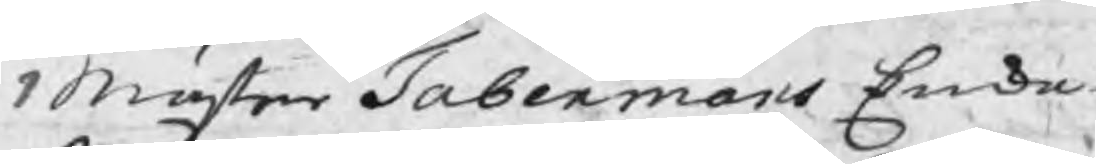1 Mäster Tabermans Enka
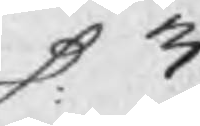R 3
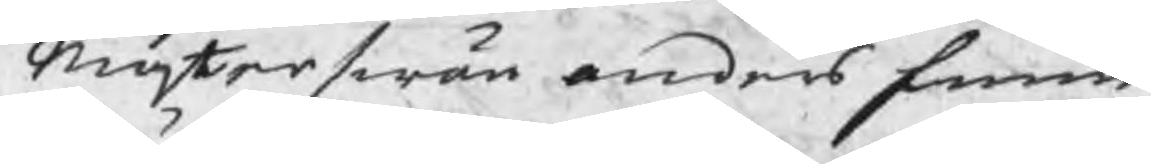Mästerswän Anders Finne
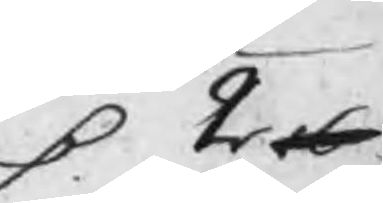R 2 16
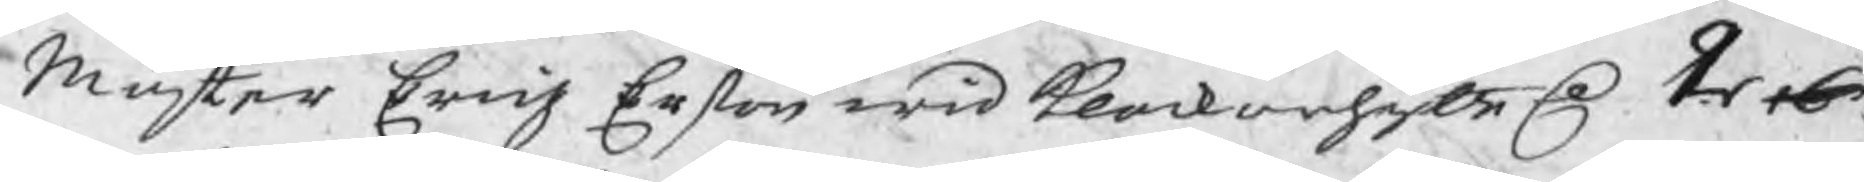Mäster Erich Erßon wid Klockarhytte R 2 16
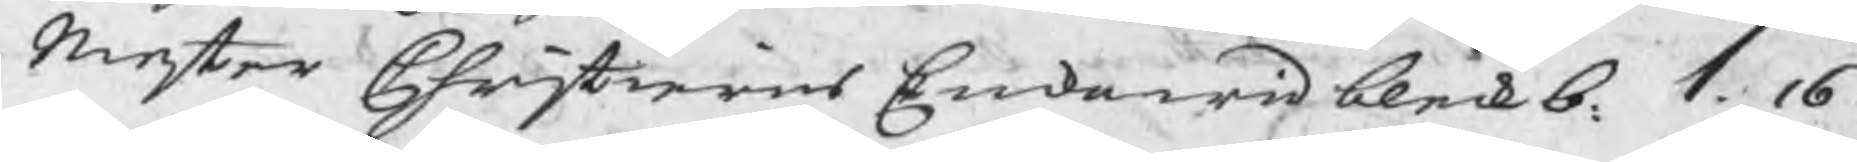Mester Christierns Enka wid bleckb. 1. 16
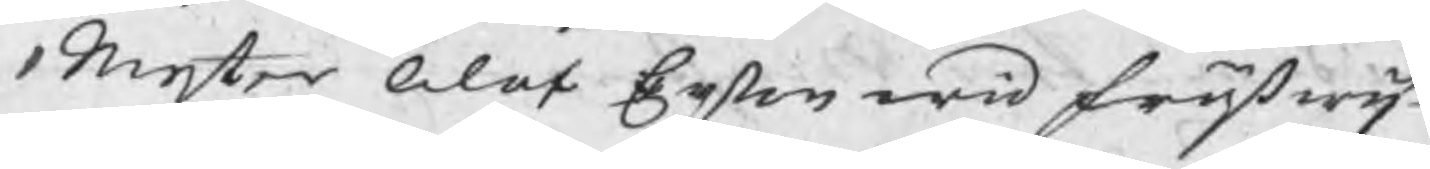1 Mester Olof Erßon wid Fröfwij
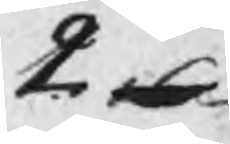2 16
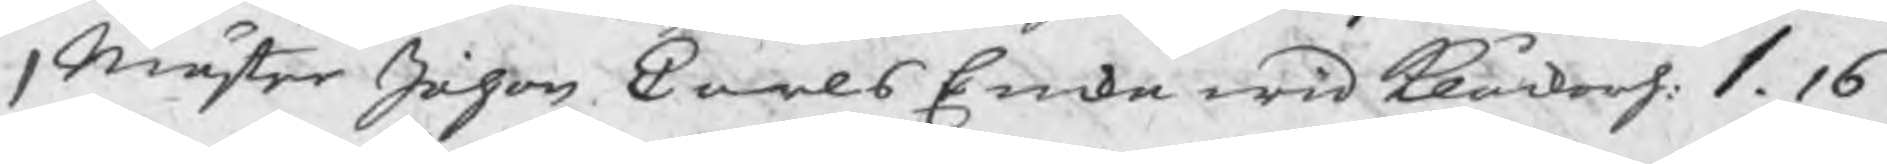1 Mäster Johan Carls Encka wid Klåckarh. 1. 16
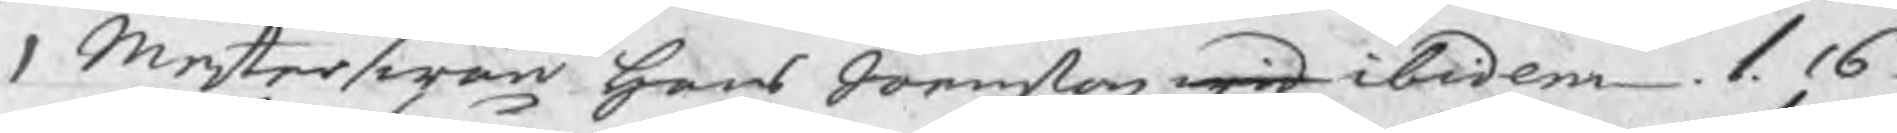1 Mesterswän Hans Joenßon wid ibidem 1. 16
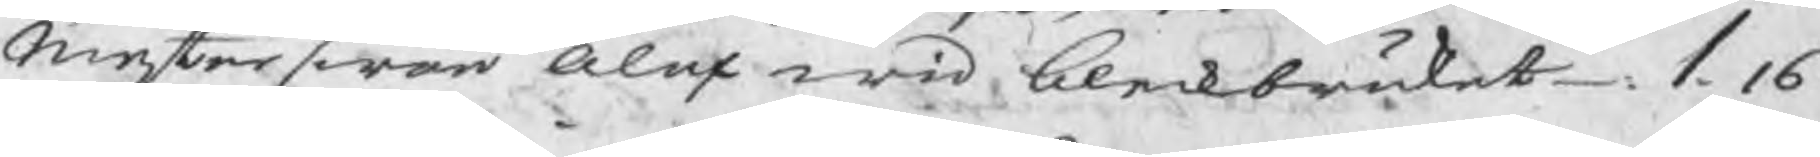Mesterswän Alex wid bleckbruket 1. 16
